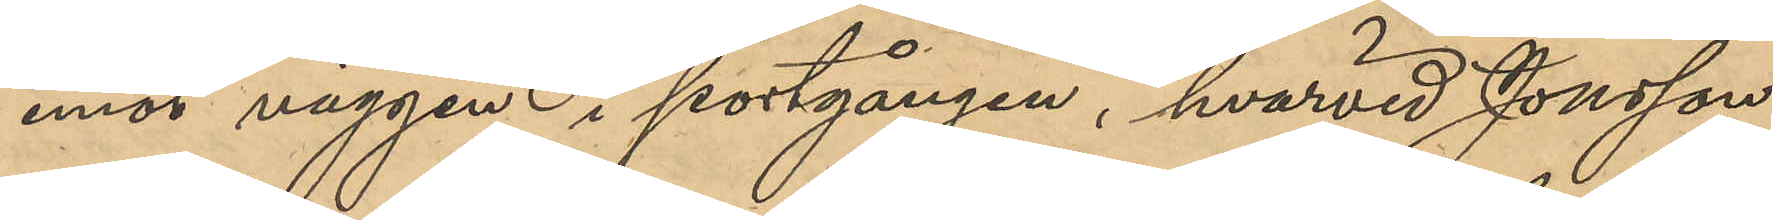emot väggen i portgången, hvarvid Jonsson
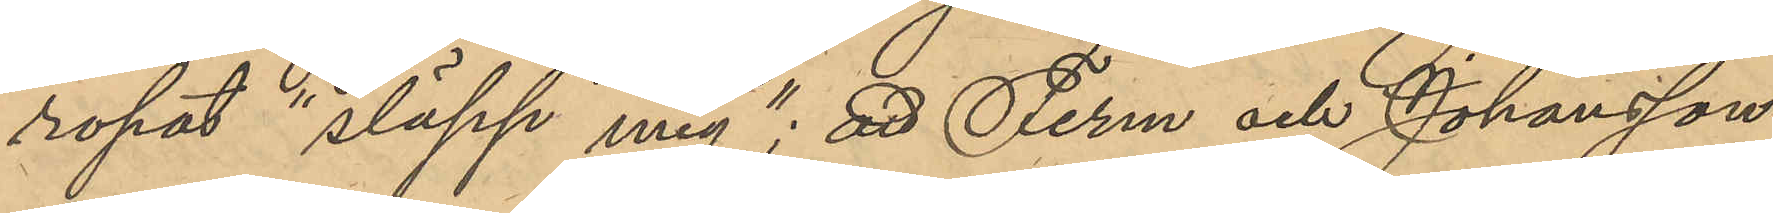ropat "släpp mig"; att Ferm och Johansson
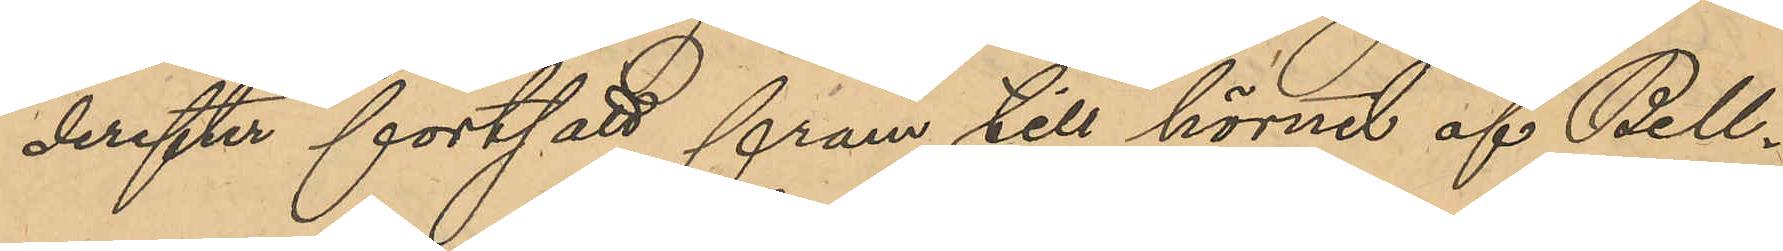derefter fortsatt fram till hörnet af Bell¬
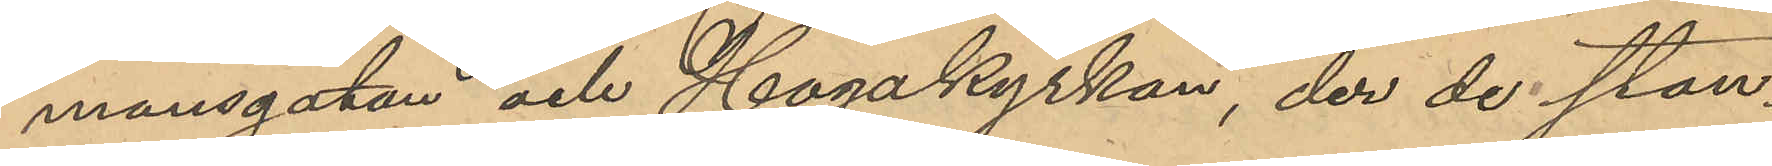mansgatan och Hagakyrkan, der de stan¬
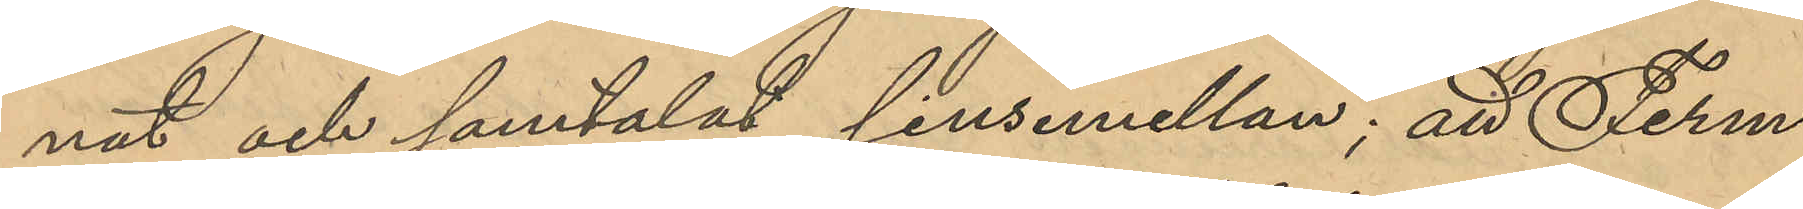nat och samtalat sinsemellan; att Ferm
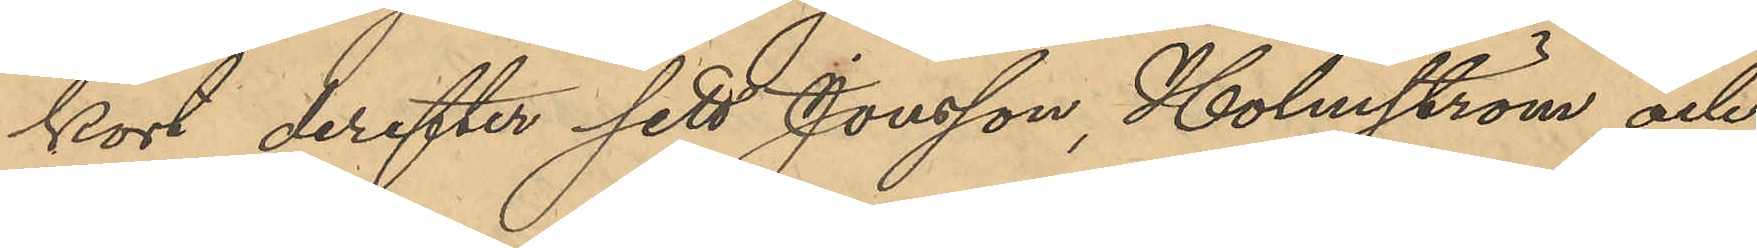kort derefter sett Jonsson, Holmström och
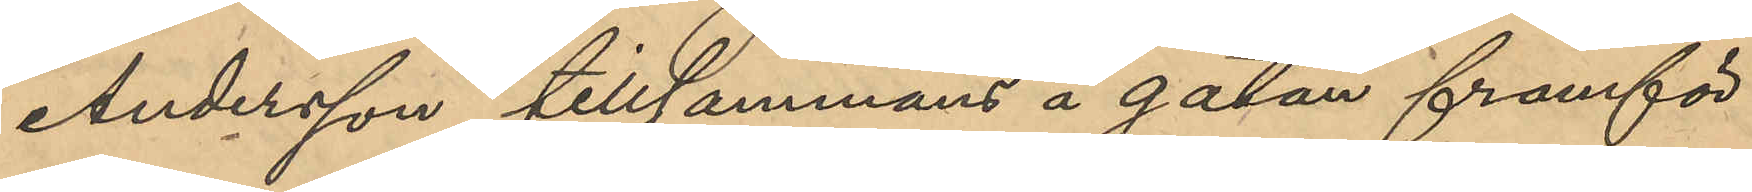Andersson tillsammans å gatan framför
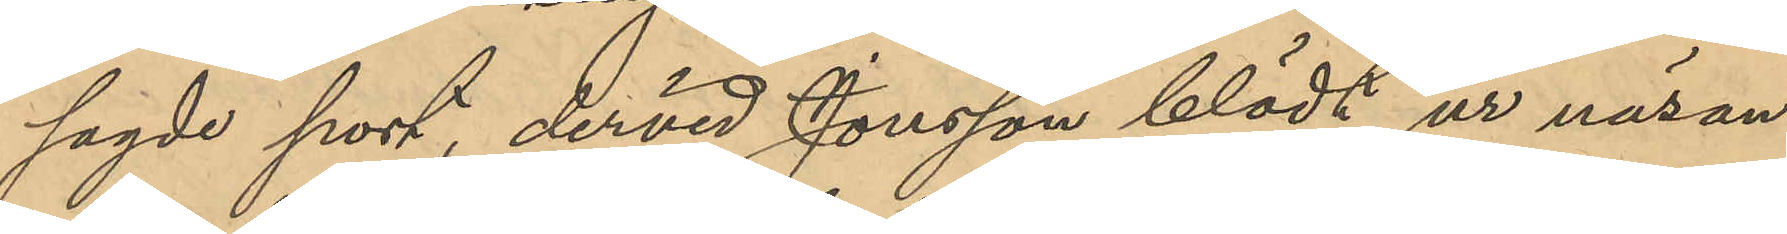sagde port, dervid Jonsson blödt ur näsan
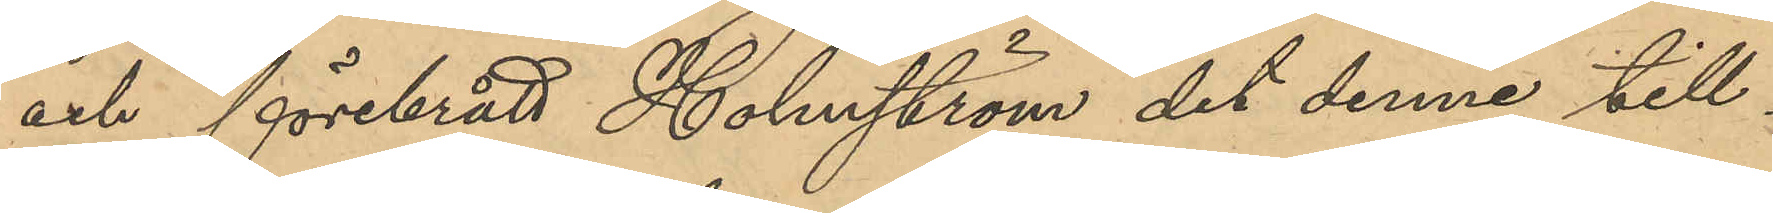och förebrått Holmström det denne till¬
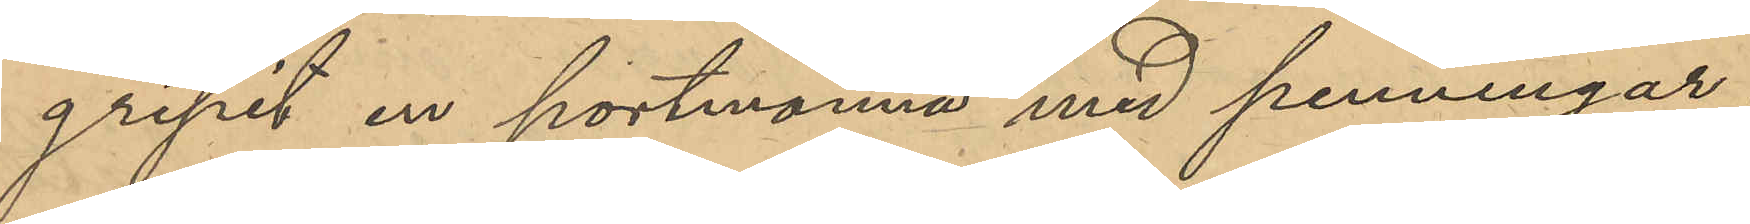gripit en portmonnä med penningar;
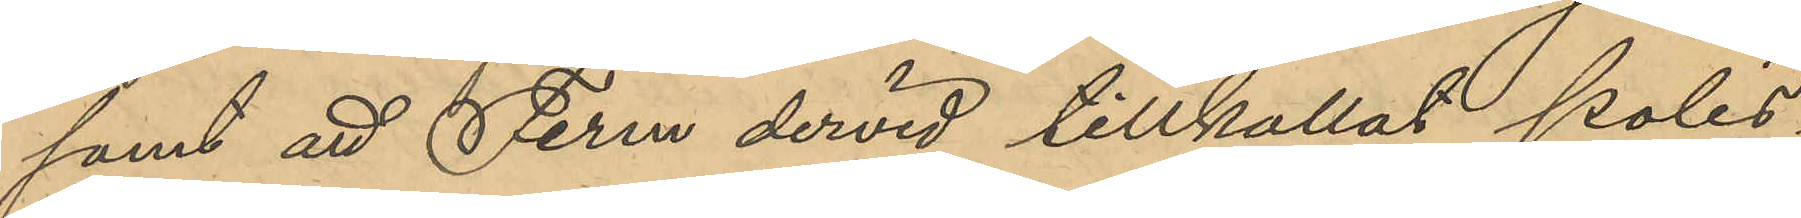samt att Ferm dervid tillkallat Polis¬
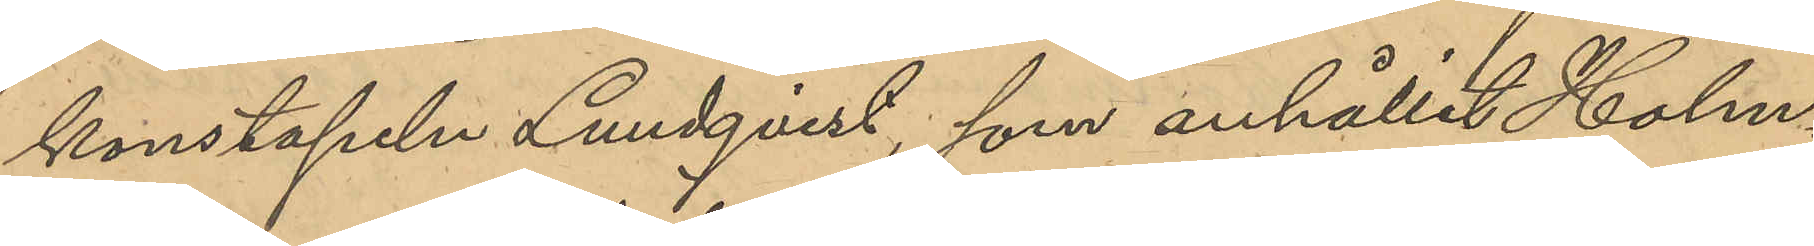konstapeln Lundqvist, som anhållit Holm¬
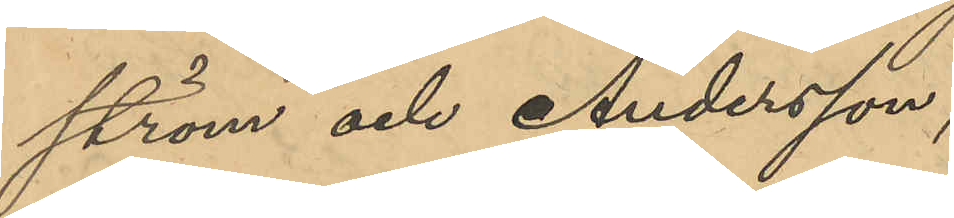ström och Andersson;
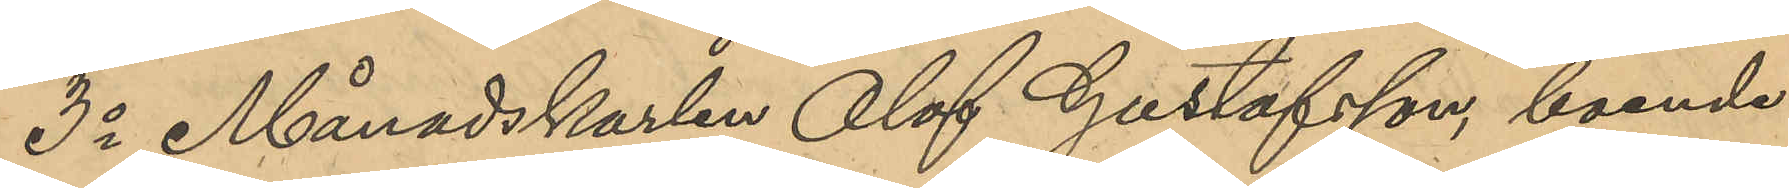3o Månadskarlen Olof Gustafsson, boende
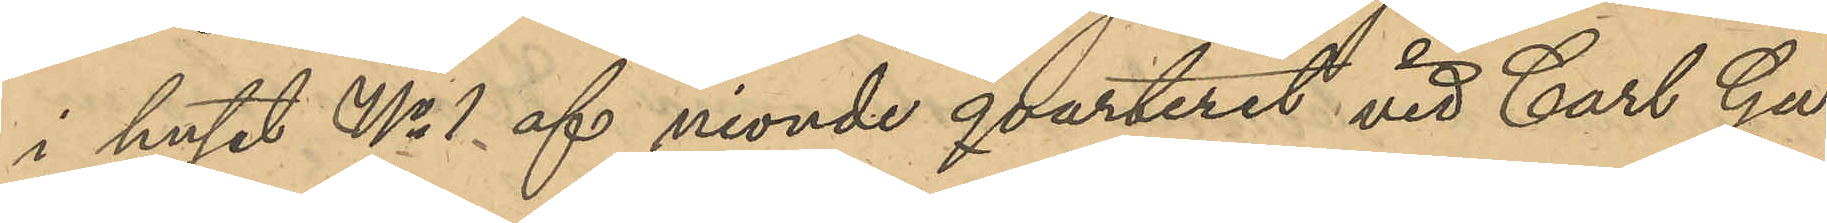i huset No 1 af nionde qvarteret vid Carl Gu¬
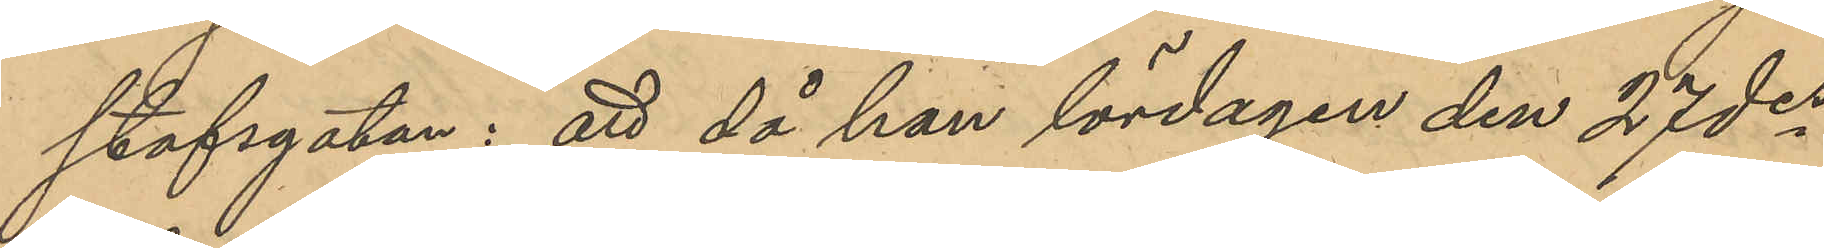stafsgatan: att då han lördagen den 27 des
